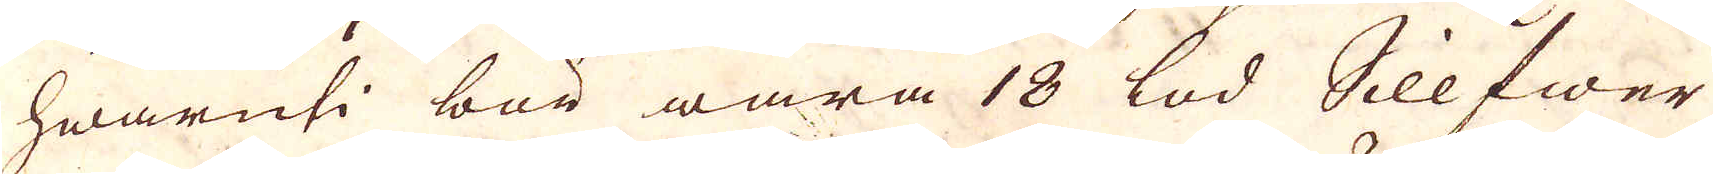hwaruti bör wara 18 lod Sillfwer
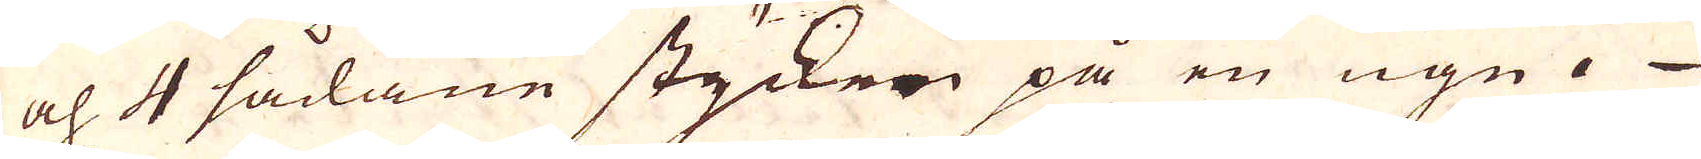och 4 sådane styckern på en ugn.
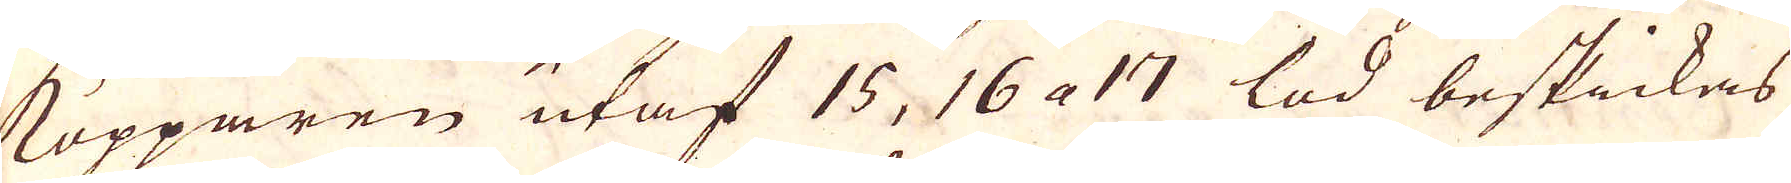Kopparen utaf 15, 16 a 17 lod beskickas
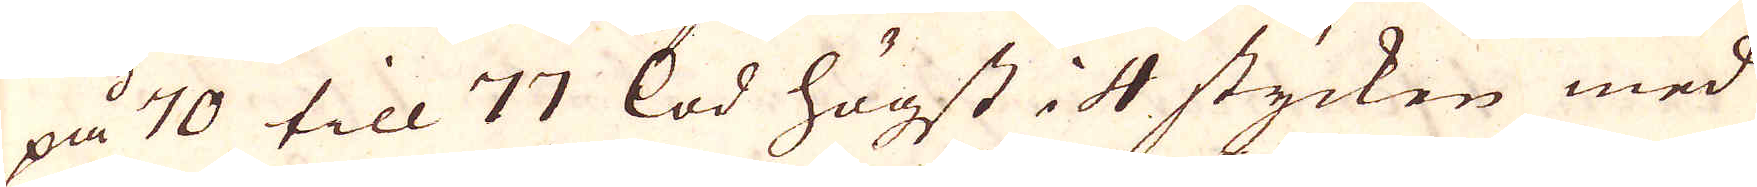på 70 till 77 lod högst i 4 stycken med
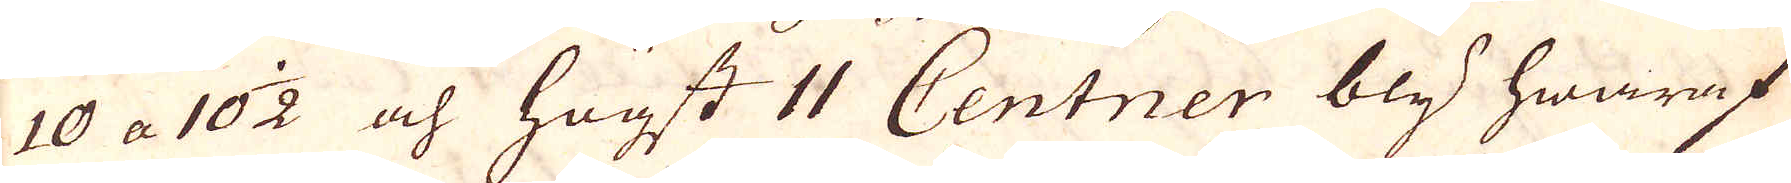10 a 10 1/2 och högst 11 Centner bly hwaraf
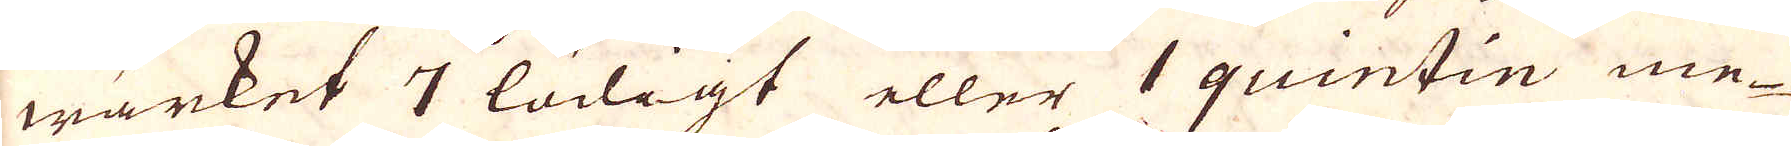wärket 7 lödigt eller 1 quintin me-
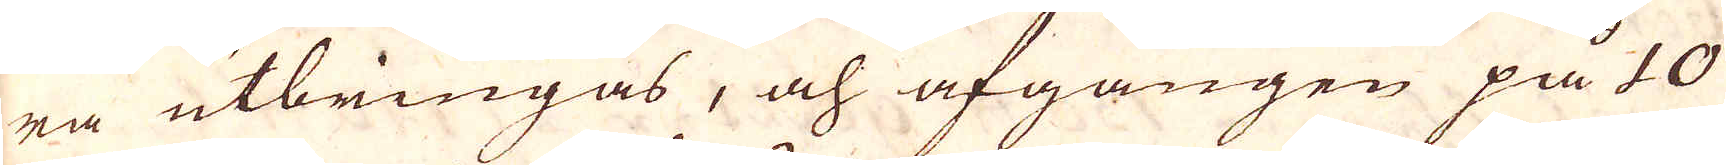ra utbringas, och afgången på 10
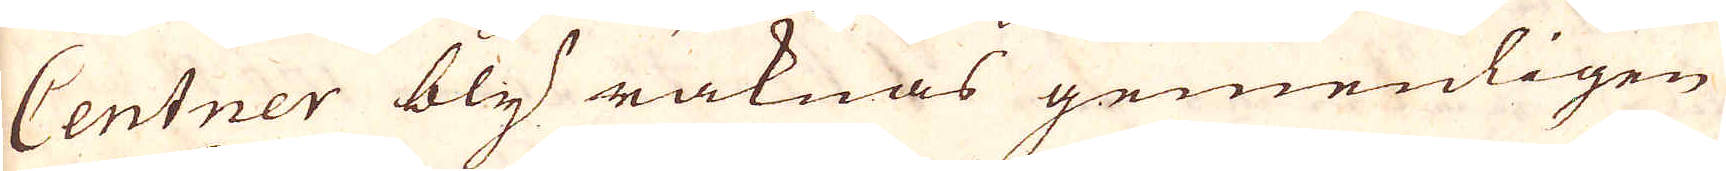Centner bly räknas gemenligen
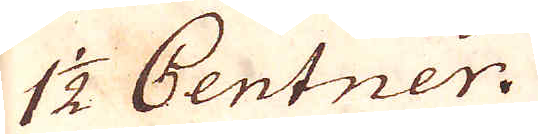1 1/2 Centner.
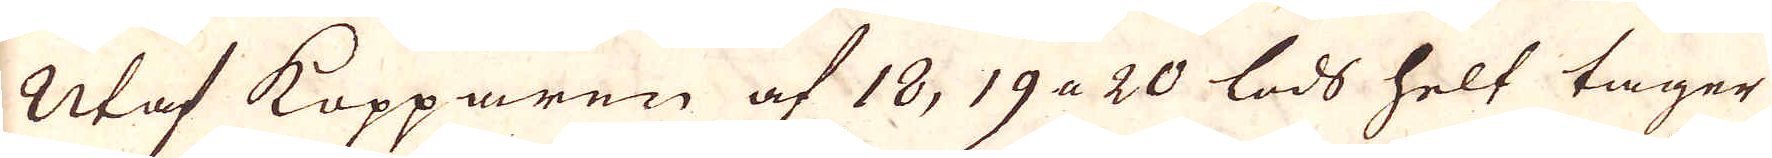Utaf Kopparen af 18, 19 a 20 lods helt tager
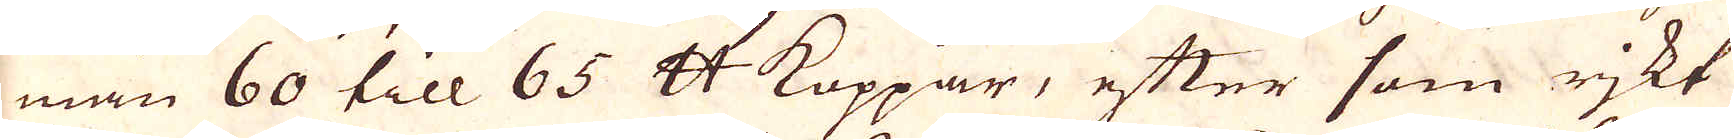man 60 till 65 skåpund Koppar, efter som rjkt
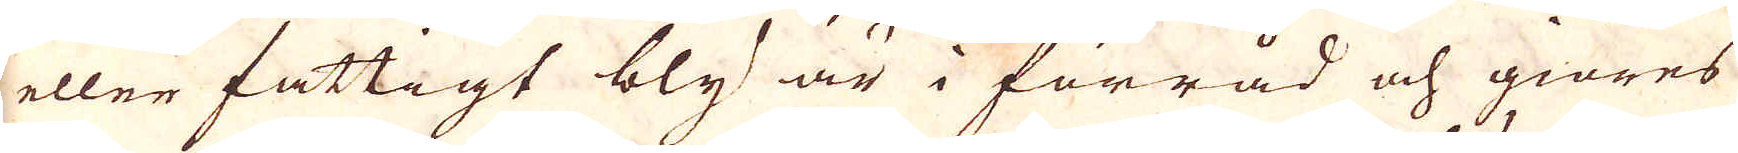eller fattigt bly är i förråd och giöres
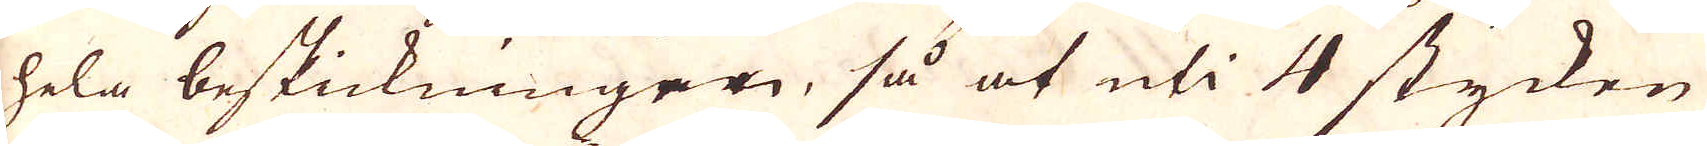hela beskickningen, så at uti 4 stycken
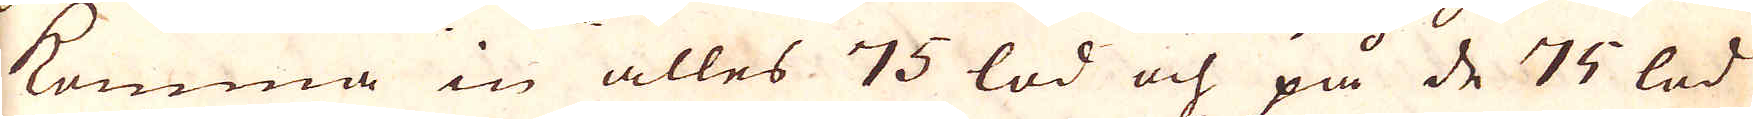komma in alles 75 lod och på de 75 lod
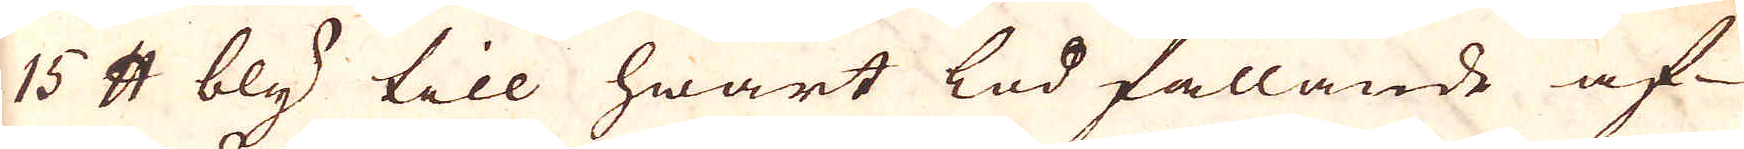15 skålpund bly till hwart lod fallande af
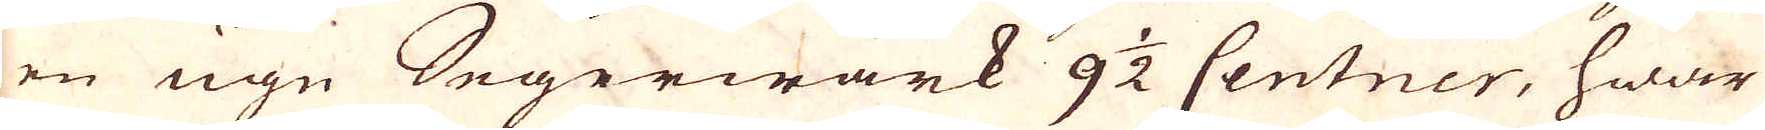en ugn Segerwärk 9 1/2 Centner, hwar
